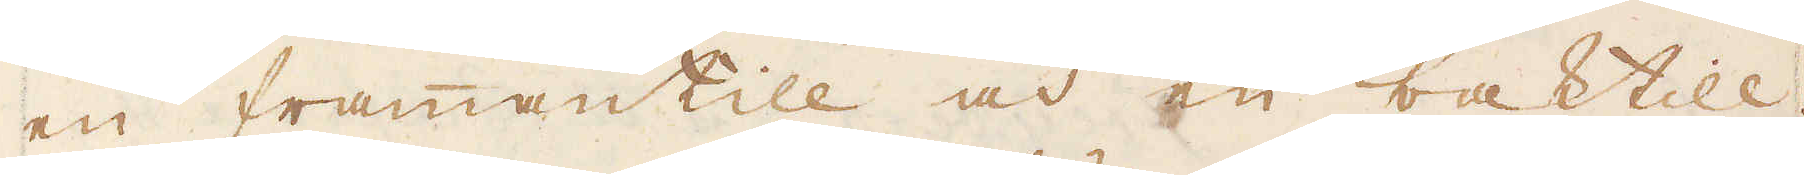en framantill och en baktill.
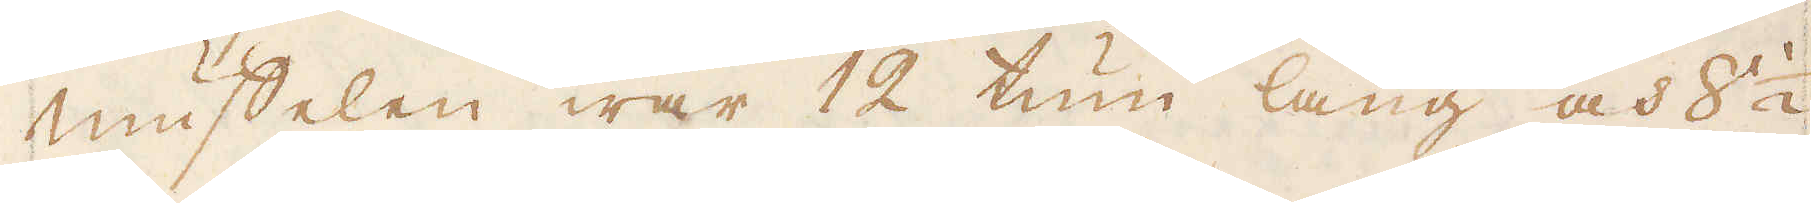Muffelen war 12 tum lång och 8 1/2
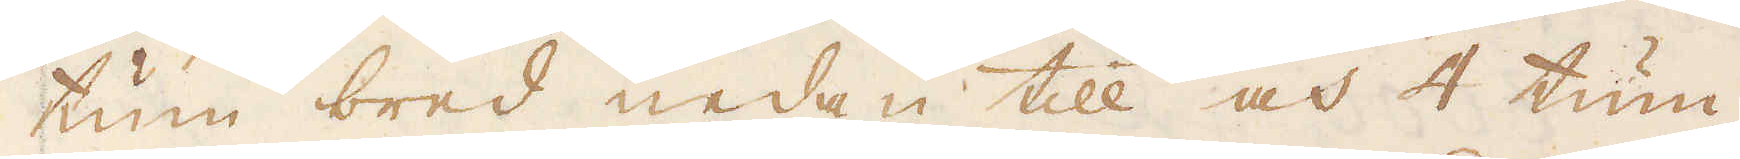tum bred nedan till och 4 tum
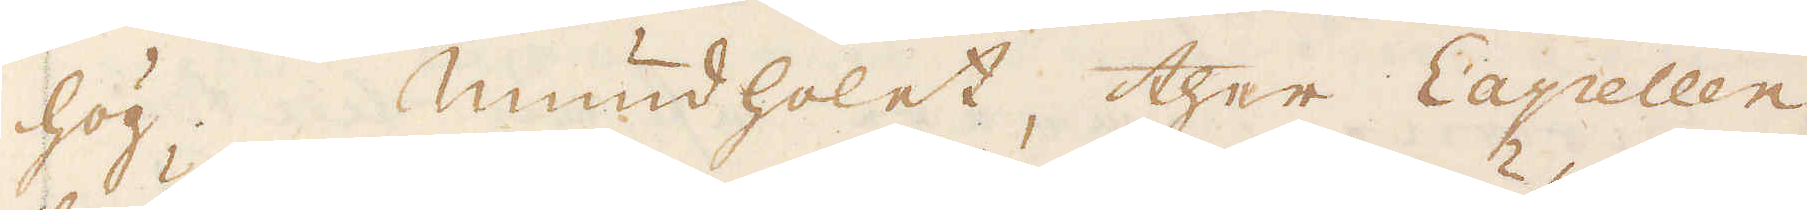hög. Mundholet, ther Capellen
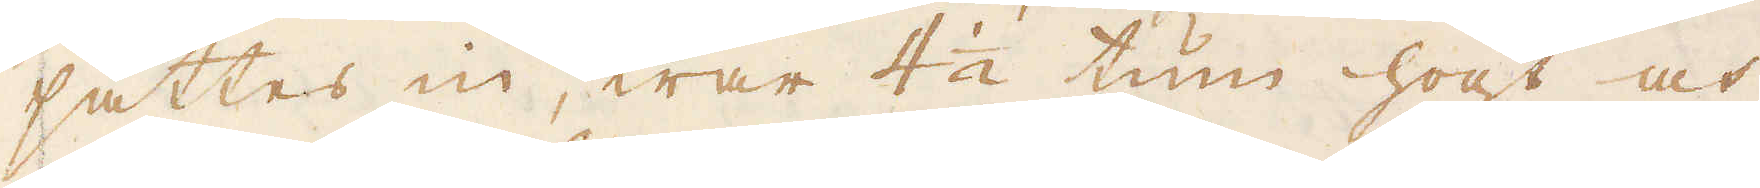sättes in, war 4 1/2 tum högt och
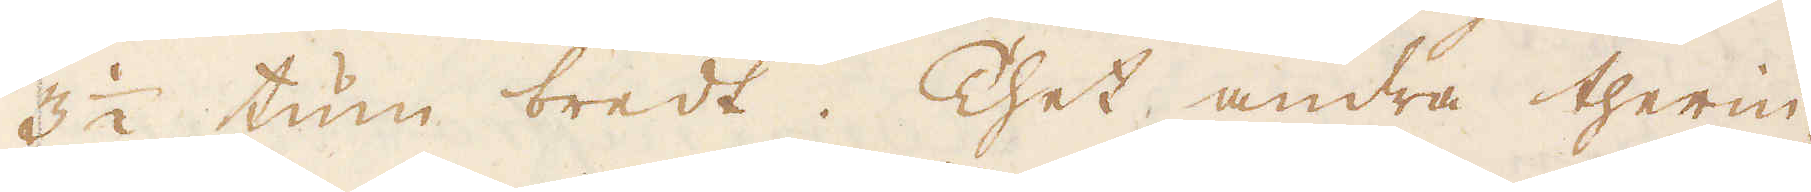3 1/2 tum bredt. Thet andra therin-
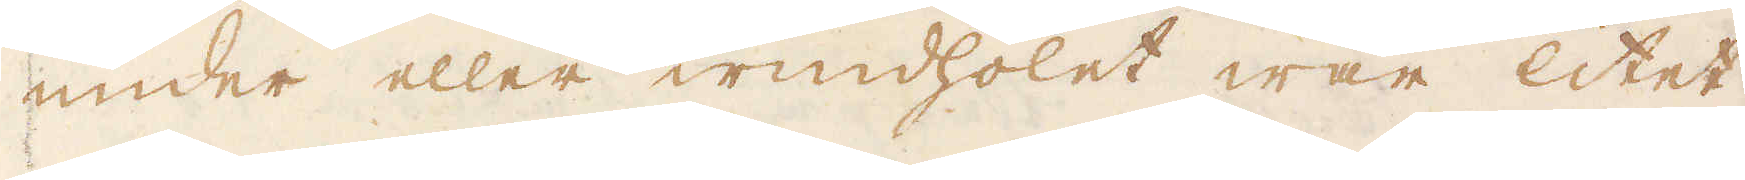under eller windholet war litet
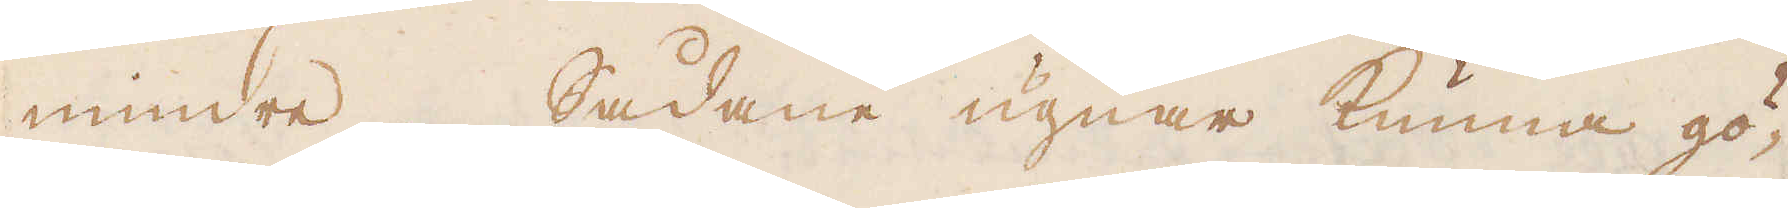mindre. Sådane ugnar kunna gö-
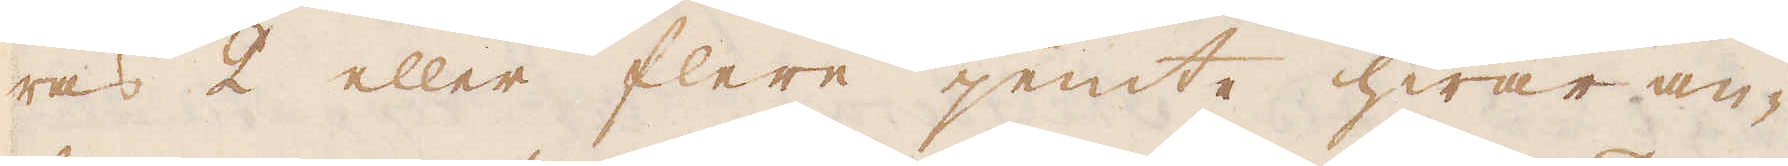ras 2 eller flere jemte hwar an-
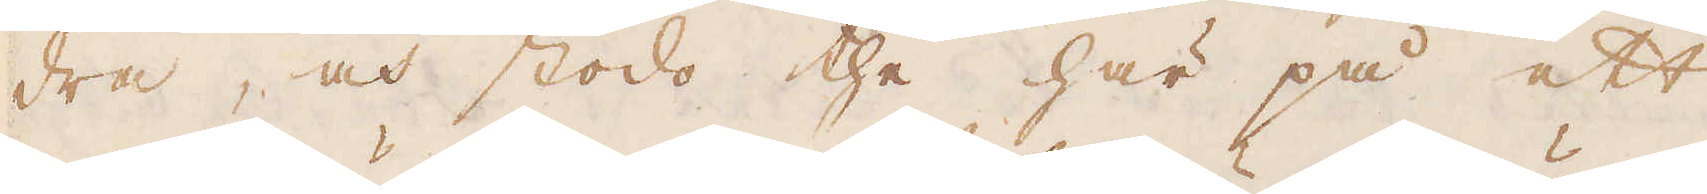dra, och stodo the här på ett
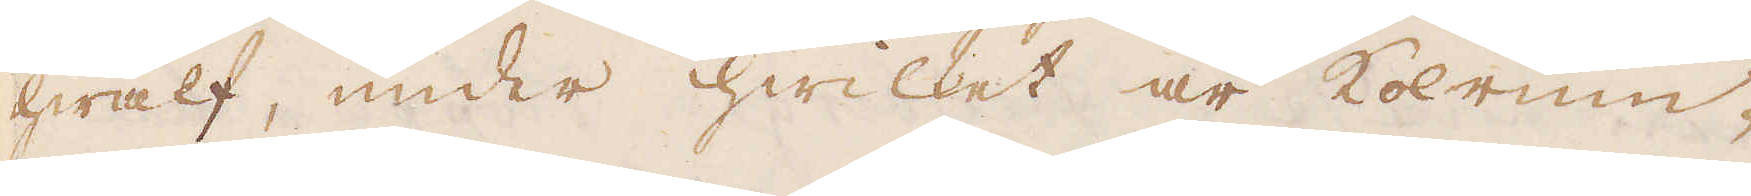hwalf, under hwilket är kolrum-
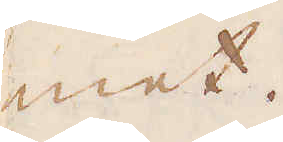met.
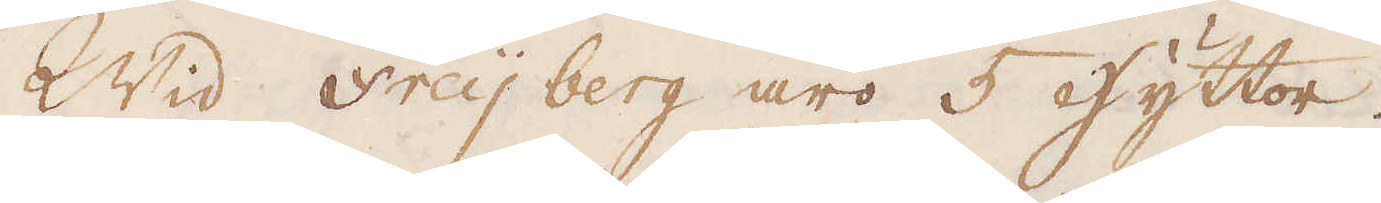Wid Freijberg äro 5 hyttor.
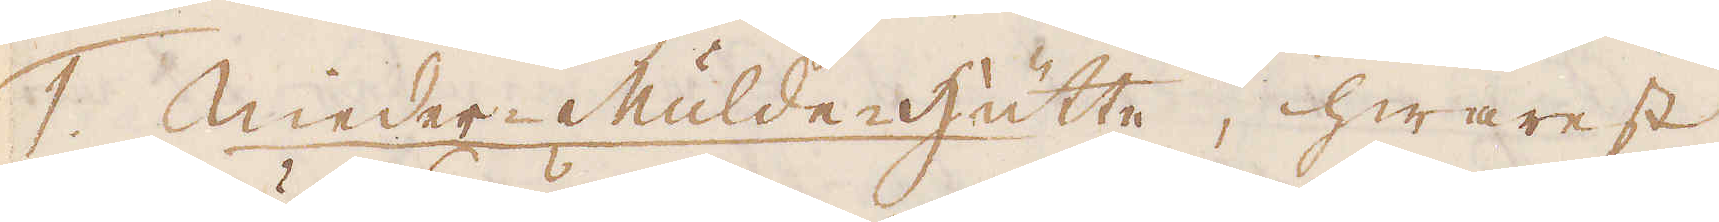1. Nieder-Mulde-hütte, hwarest
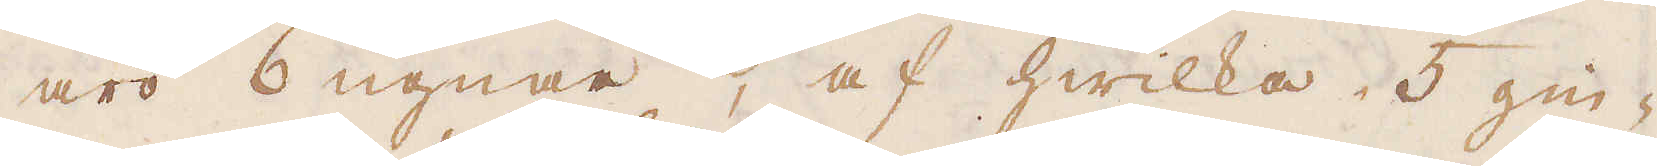äro 6 ugnar, af hwilka 5 gin-
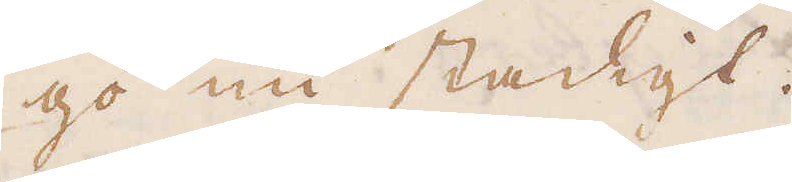go nu stadigt.
